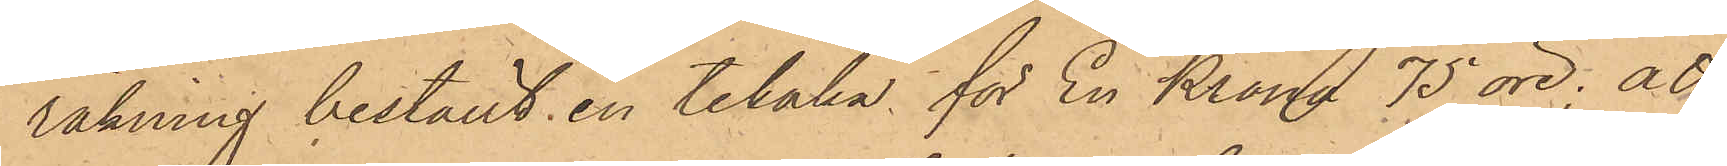räkning beställt en tekaka för En Krona 75 öre; att
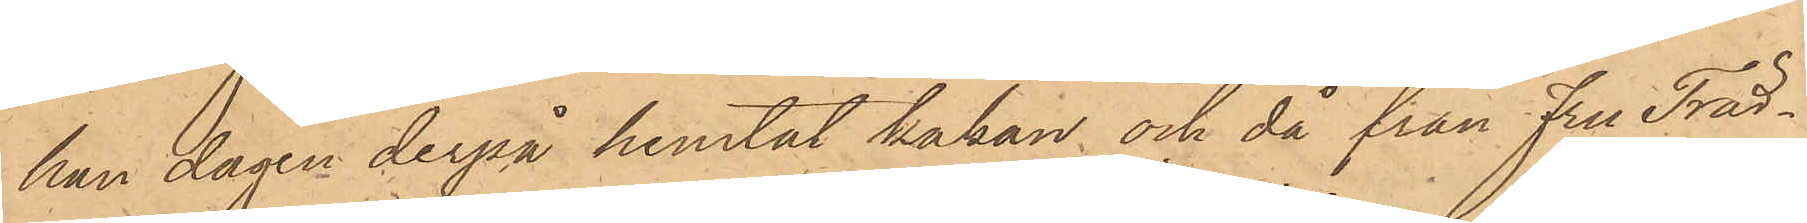han dagen derpå hemtat kakan och då från Fru Träd¬
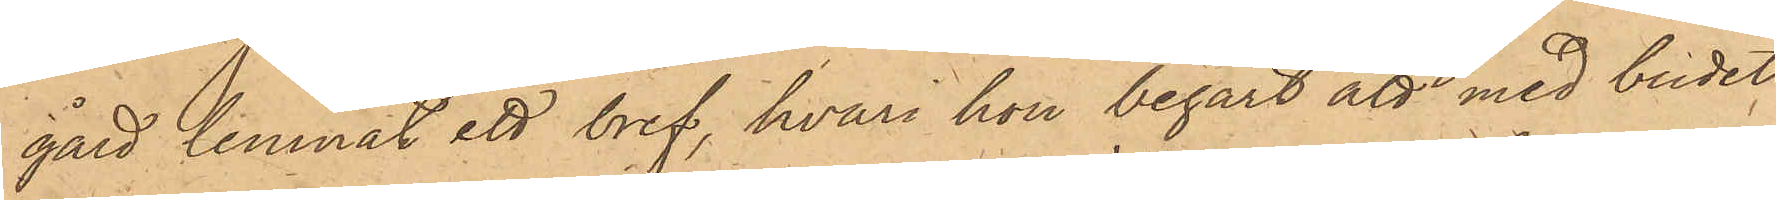gård lemnat ett bref, hvari hon begärt att med budet
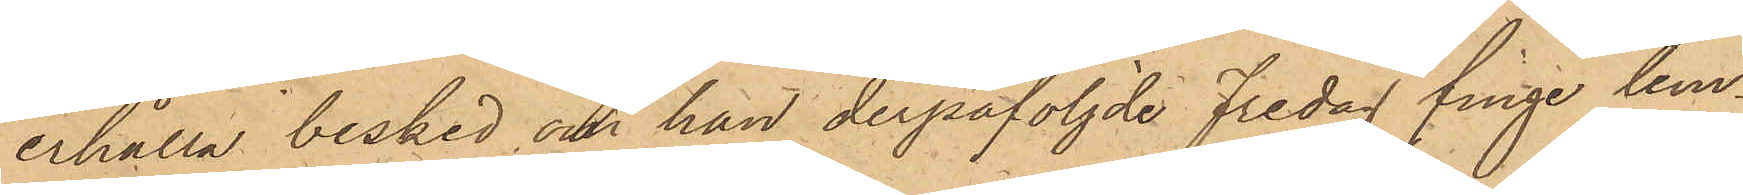erhålla besked om han derpåföljde Fredag finge lem¬
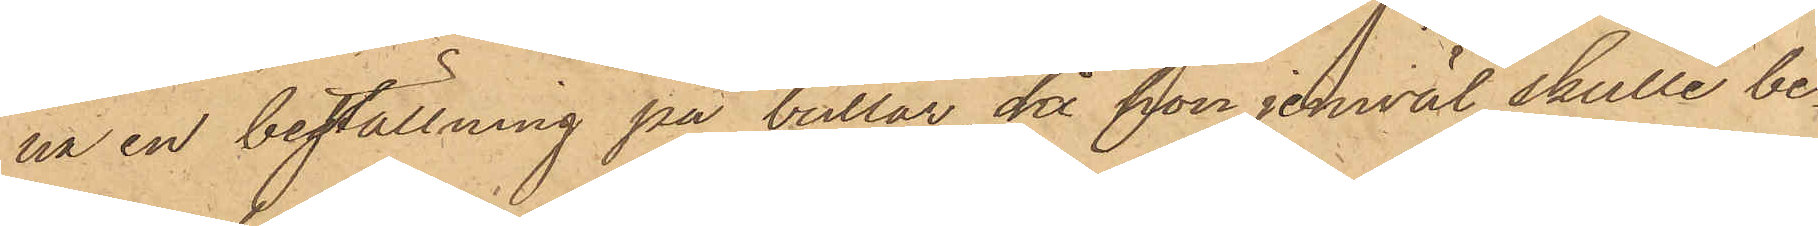na en beställning på bullar, då hon jemväl skulle be¬
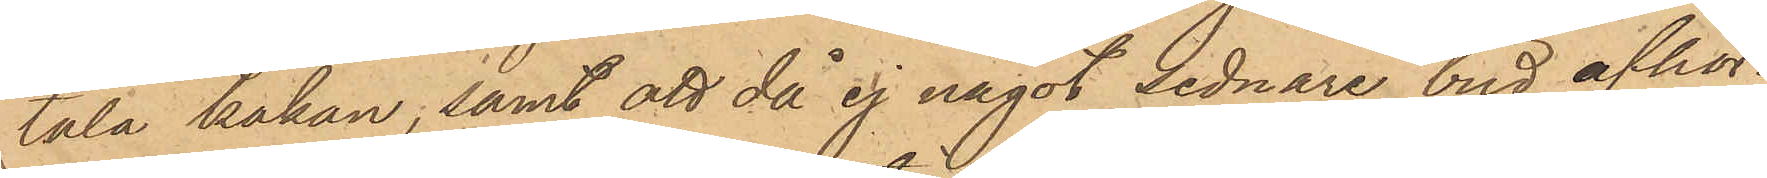tala kakan; samt att då ej något sednare bud afhör¬
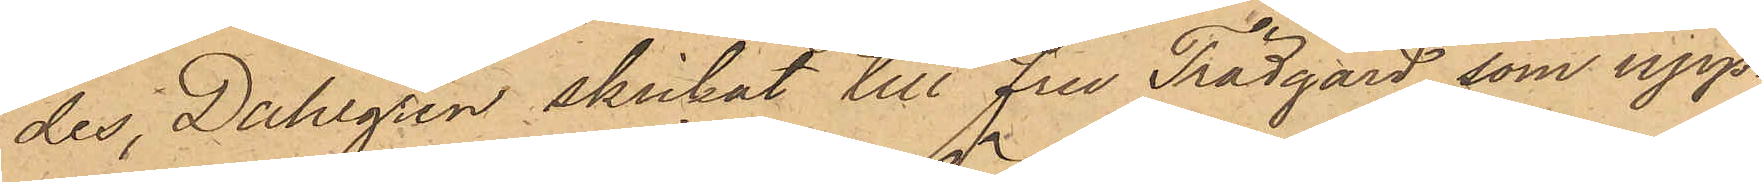des, Dahlgren skickat till Fru Trädgård, som upp¬
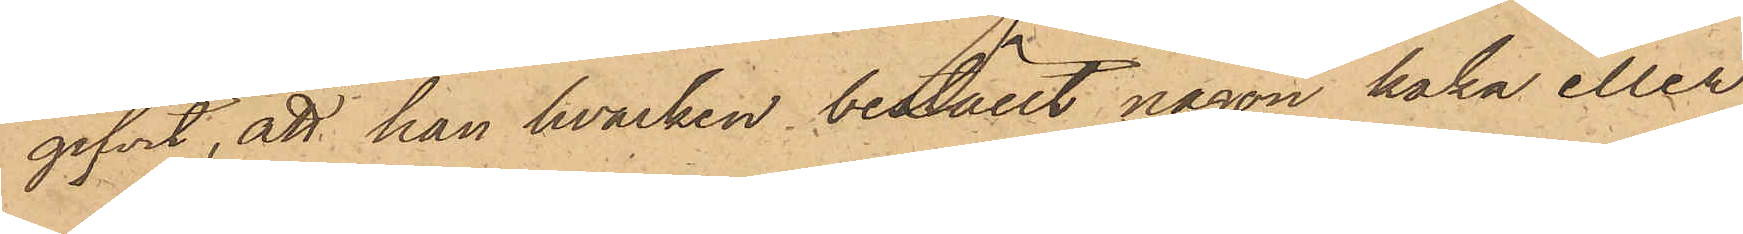gifvit, att hon hvarken beställt någon haka eller
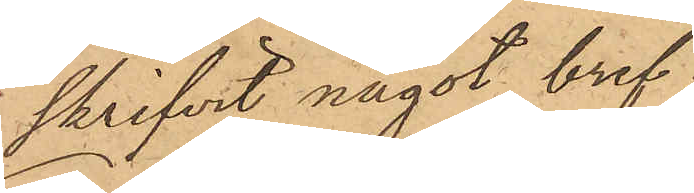skrifvit något bref;
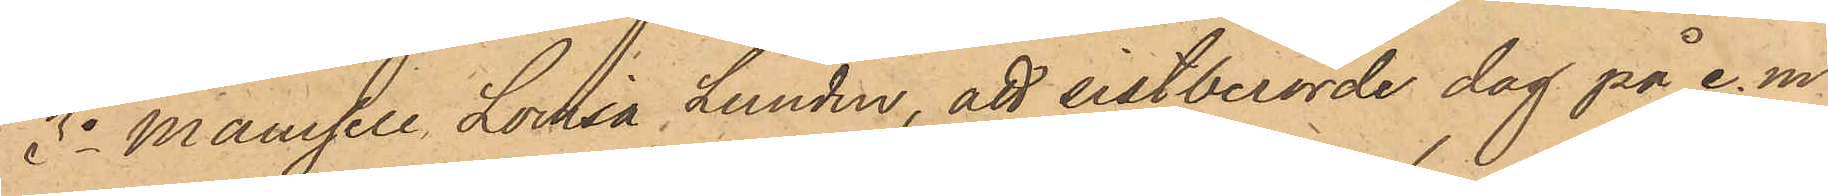2o Mamsell Lovisa Lundin, att sistberörde dag på e. m.
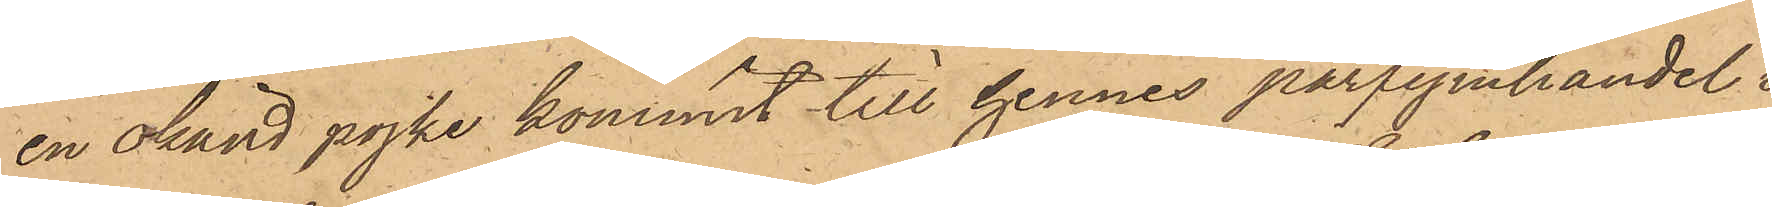en okänd pojke kommit till hennes parfymhandel i
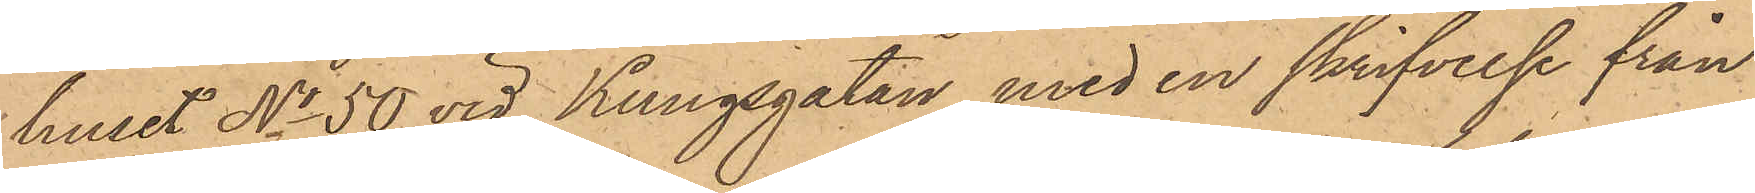huset No 50 vid Kungsgatan med en skrifvelse från
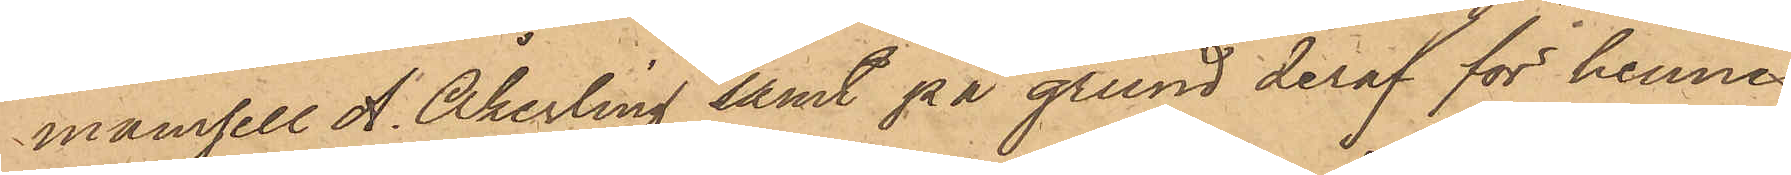mamsell A. Åkerling samt på grund deraf för henne
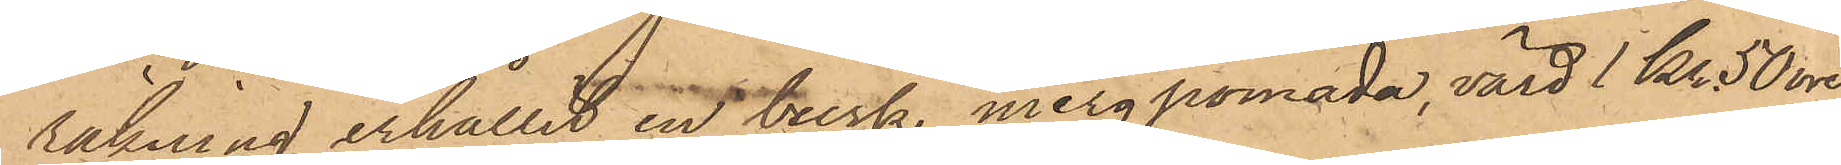räkning erhållit en burk mergpomada, värd 1 Kr 50 öre
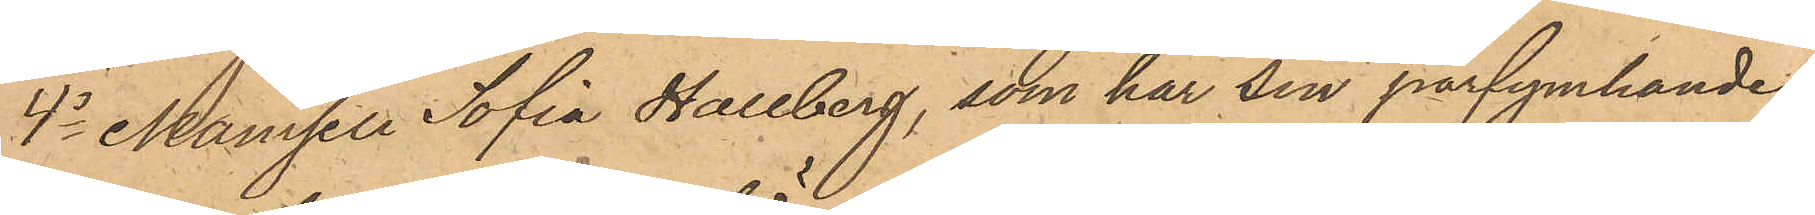4o Mamsell Sofia Hallberg, som har sin parfymhandel
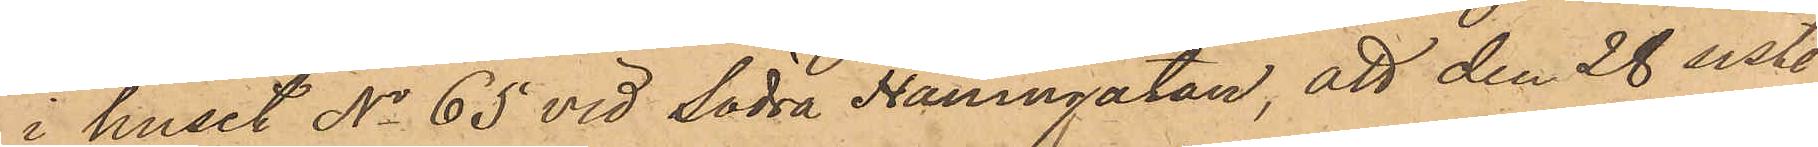i huset No 65 vid Södra Hamngatan, att den 28 sist.
